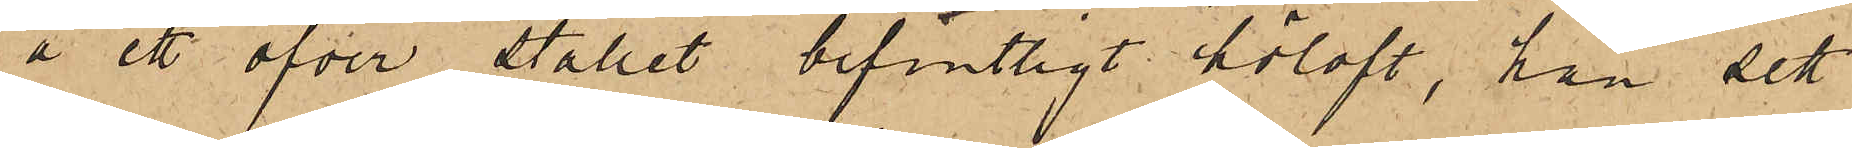å ett öfver stallet befintligt höloft, han sett
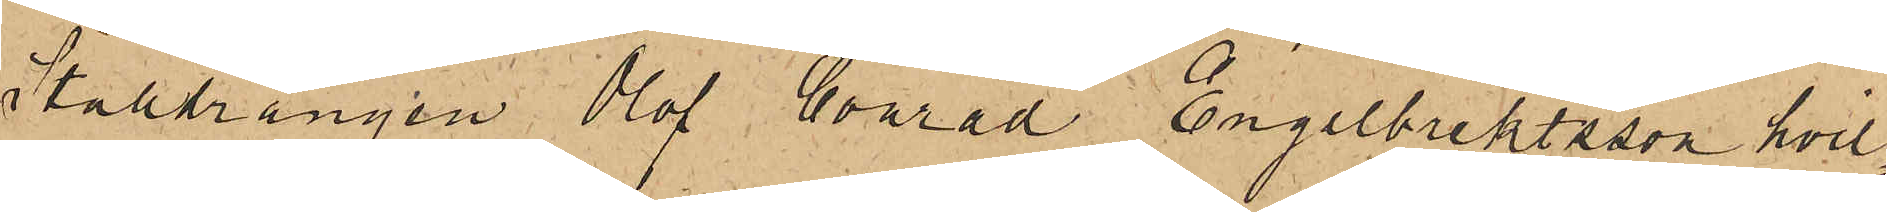Stalldrängen Olof Conrad Engelbrektsson hvil¬
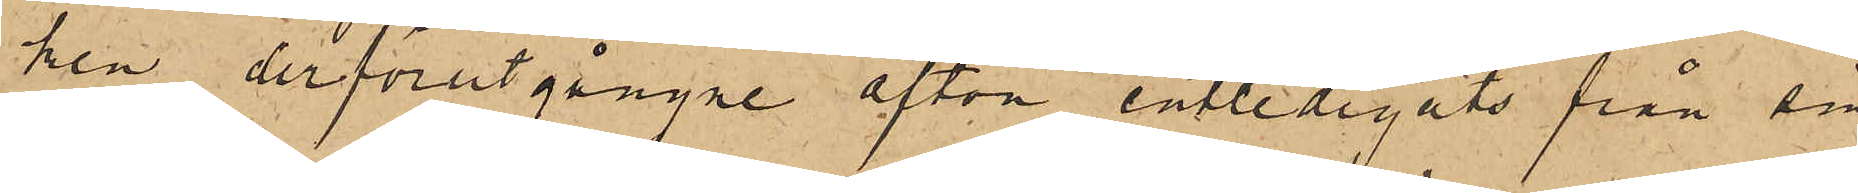ken derförutgångne afton entledigats från sin
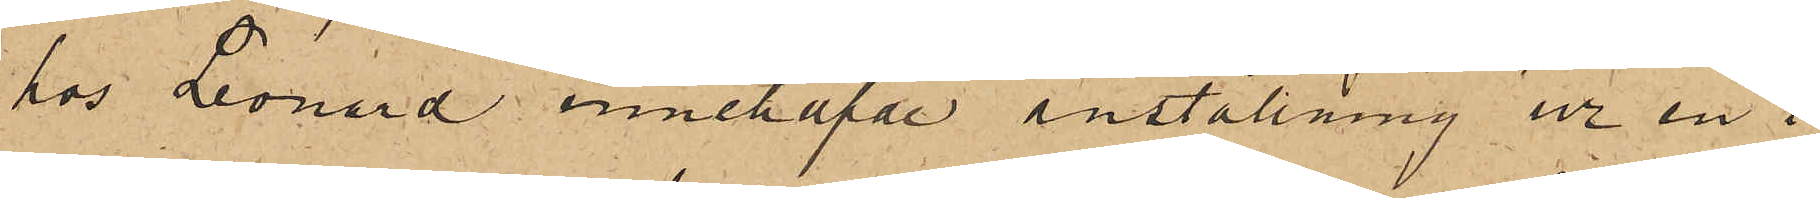hos Leonard innehafde anställning ur en i
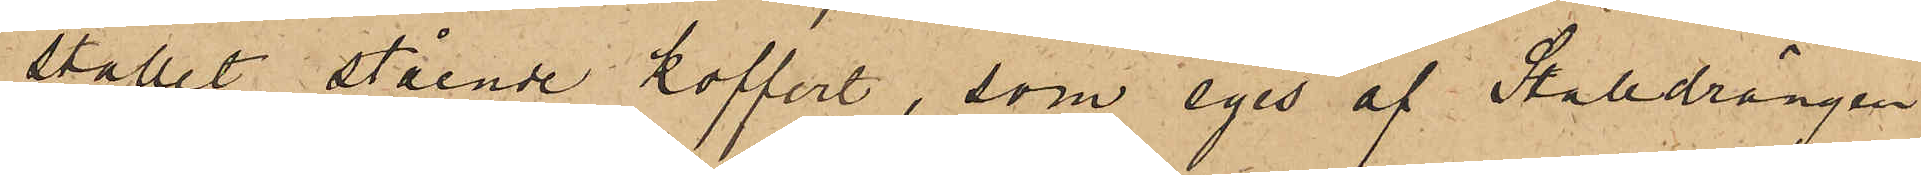stallet stående koffert, som eges af Stalldrängen
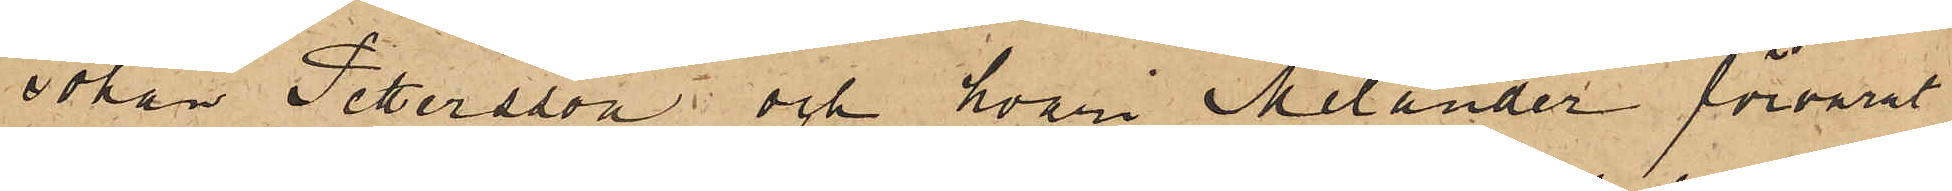Johan Pettersson och hvari Melander förvarat
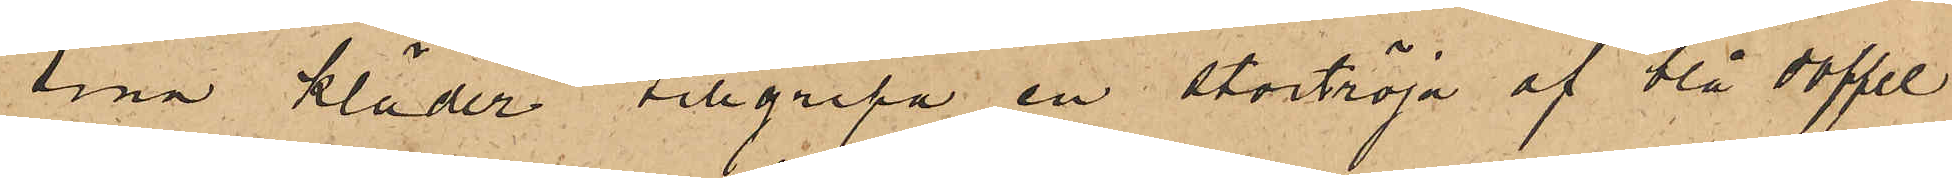sina kläder tillgripa en stortröja af blå doffel
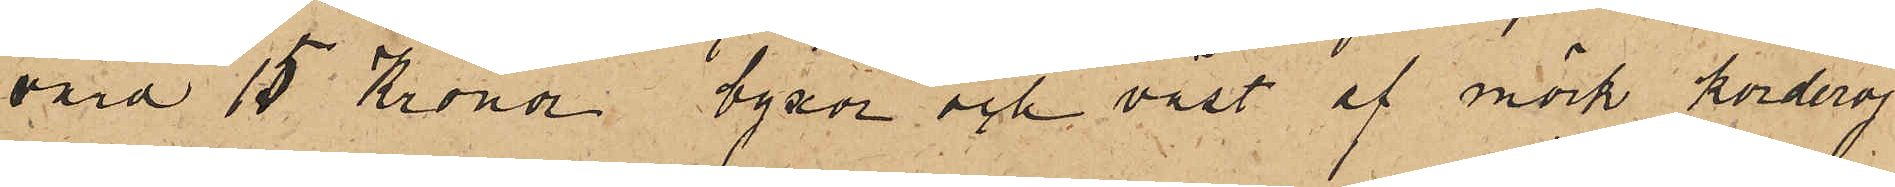värd 15 Kronor byxor och väst af mörk korderoj
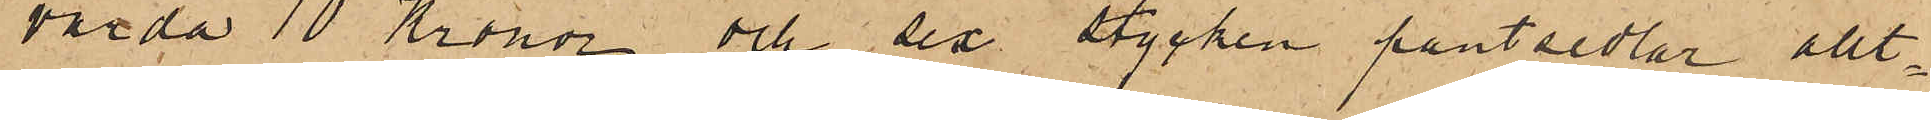värda 10 Kronor och sex stycken pantsedlar allt¬
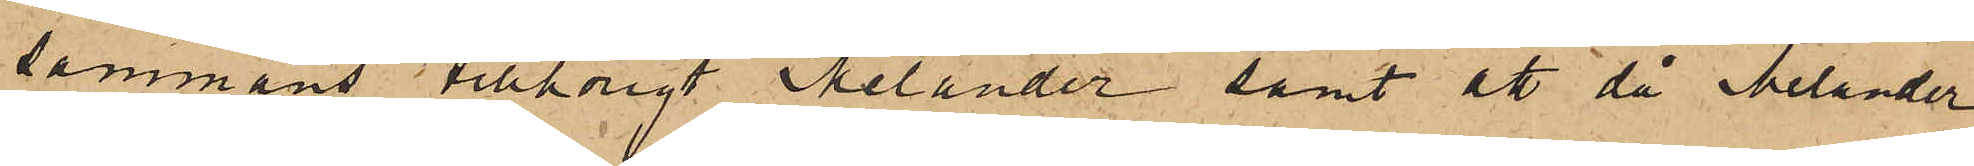sammans tillhörigt Melander samt att då Melander
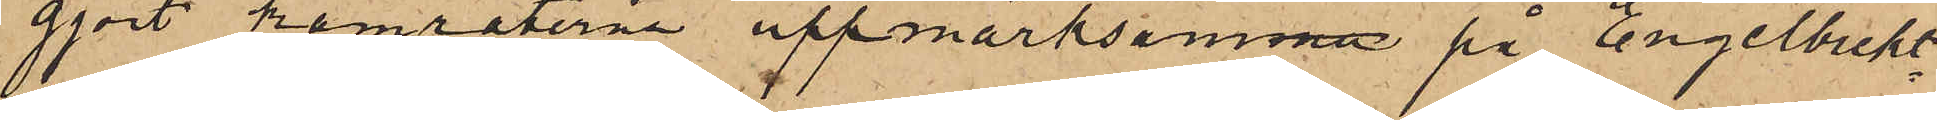gjort kamraterna uppmärksamma på Engelbrekt¬
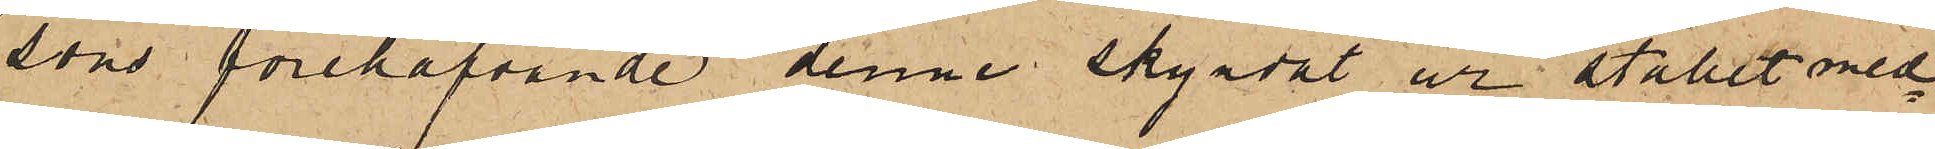sons förehafvande denne skyndat ur stallet med¬
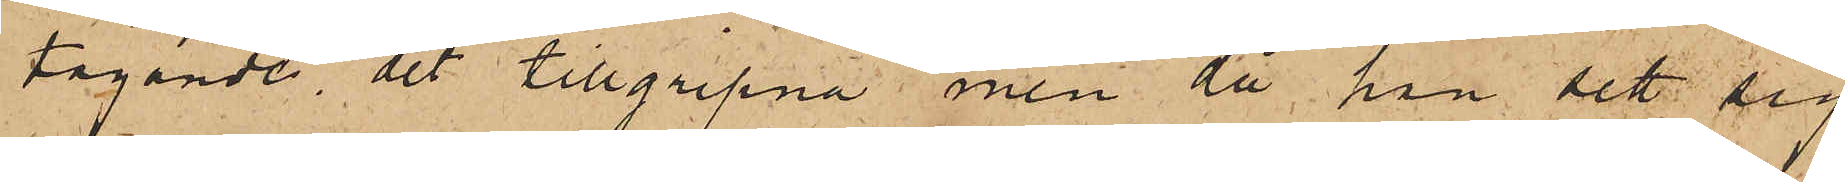tagande det tillgripna, men då han sett sig
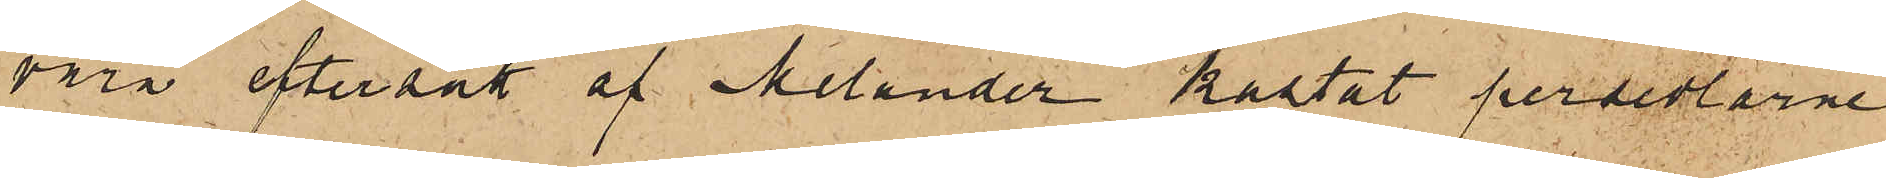vara eftersatt af Melander kastat persedlarne
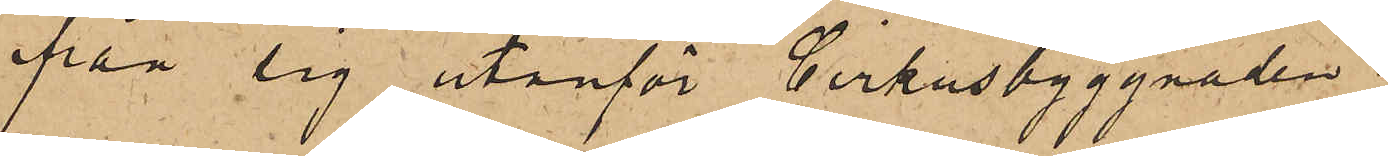ifrån sig utanför Cirkusbyggnaden.
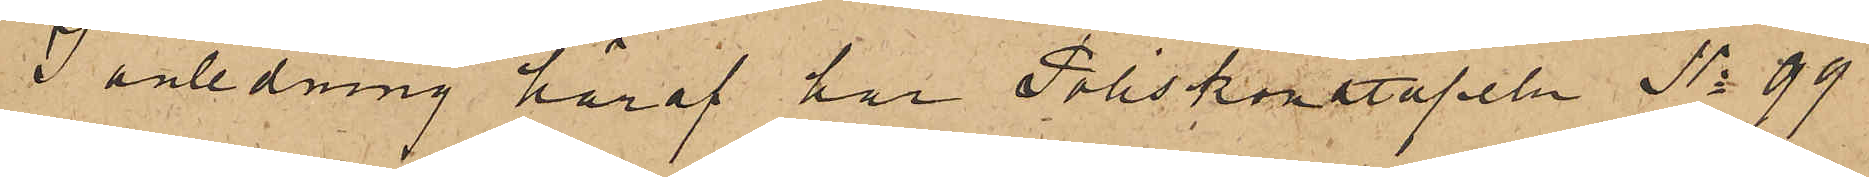I anledning häraf har Poliskonstapeln No 99
